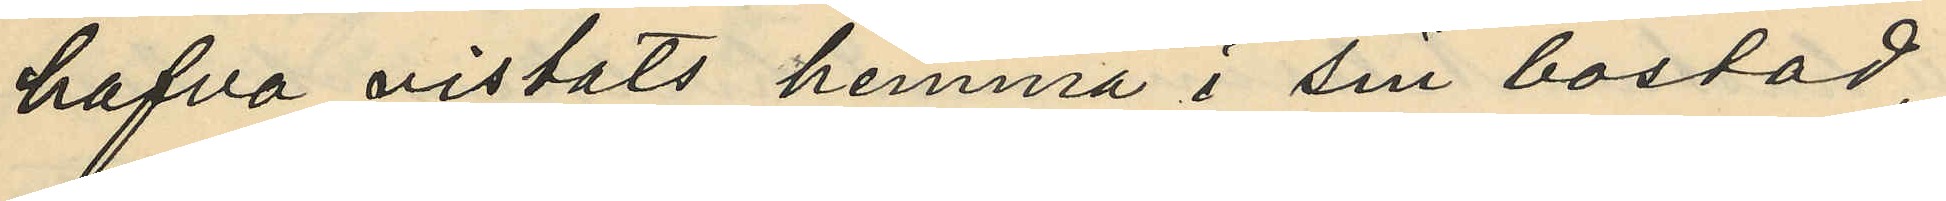hafva vistats hemma i sin bostad
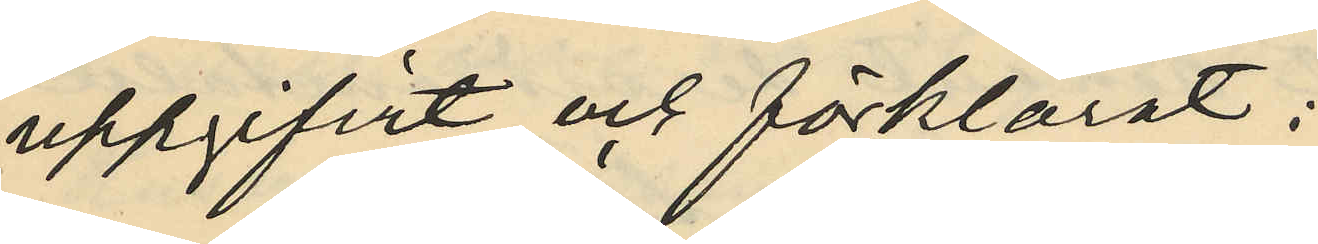uppgifvit och förklarat:
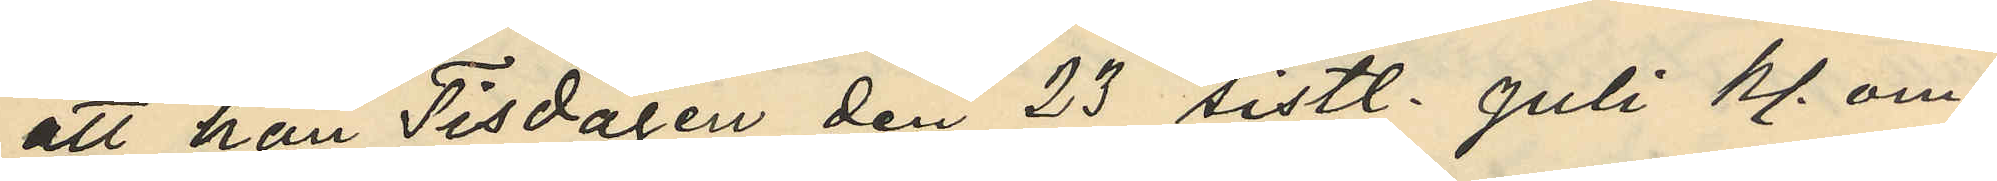att han Tisdagen den 23 sistl. Juli kl. om¬
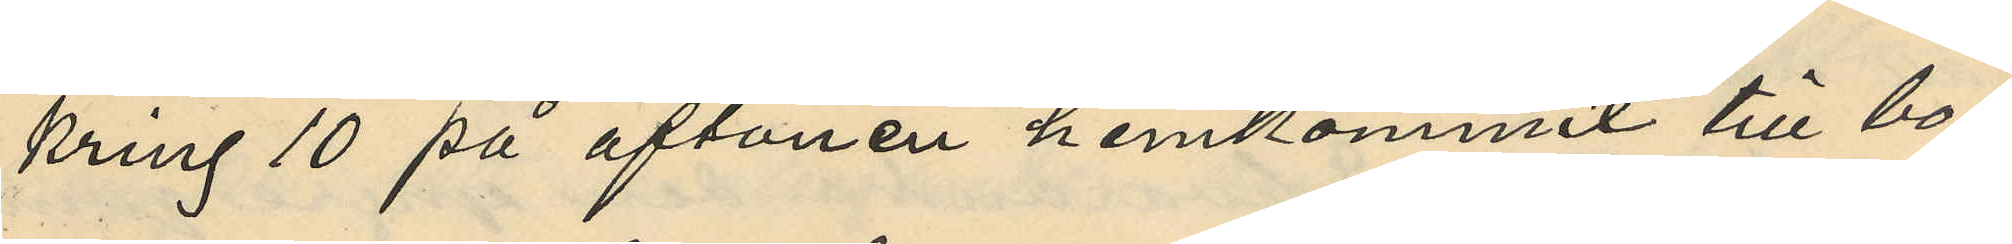kring 10 på aftonen hemkommit till bo¬
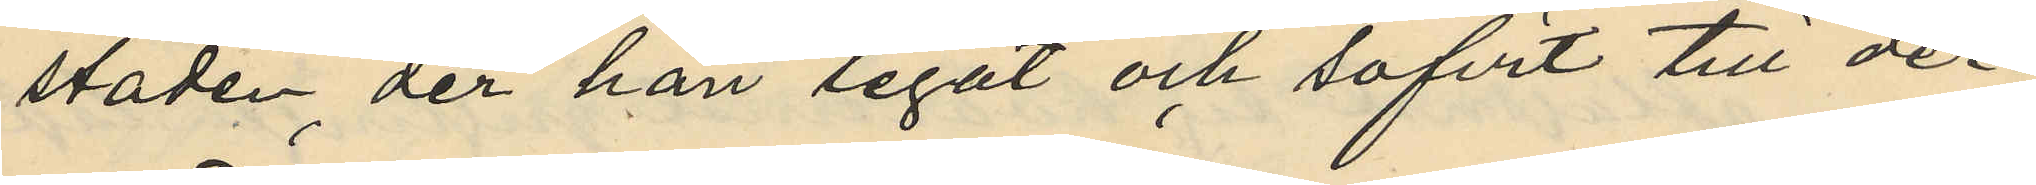staden, der han legat och sofvit till der¬
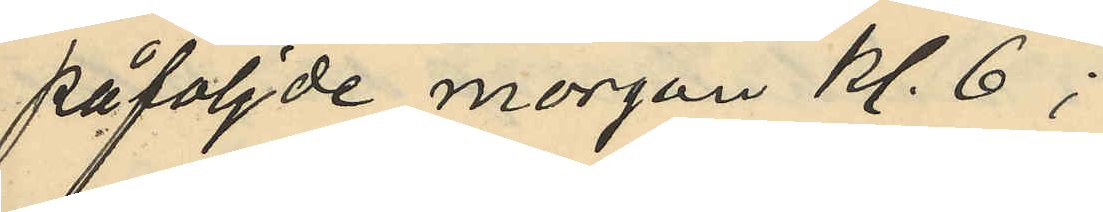påföljde morgon kl. 6;
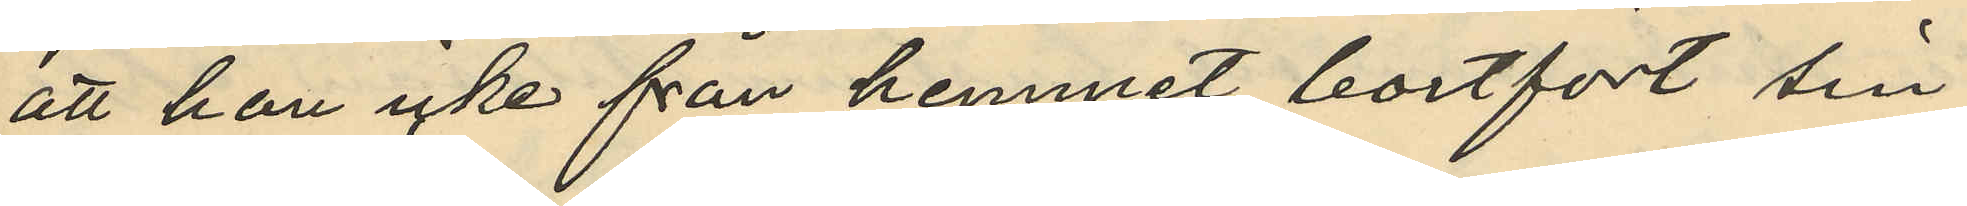att han icke från hemmet bortfört sin
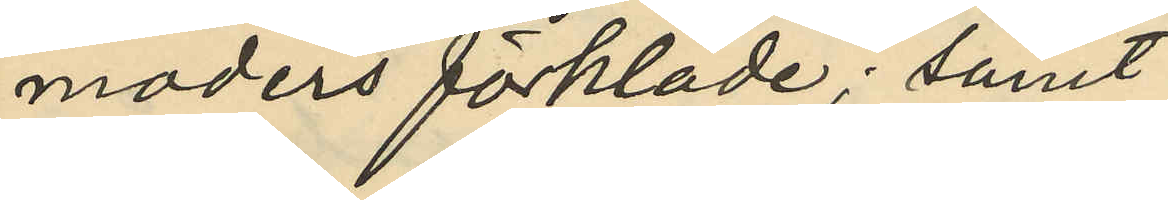moders förkläde; samt
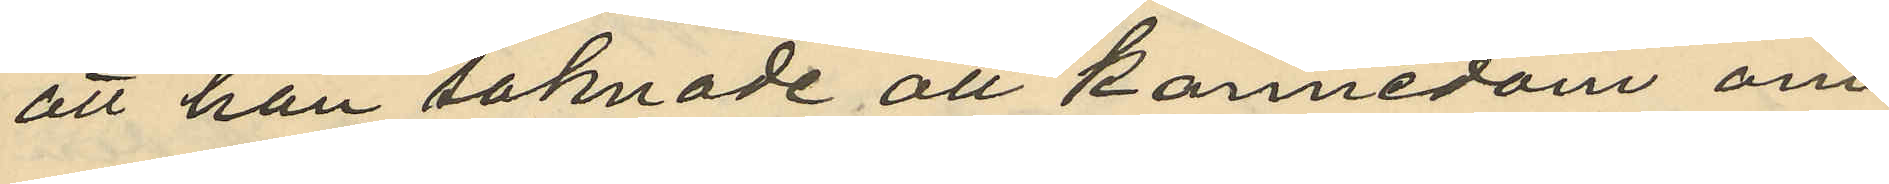att han saknade all kännedom om
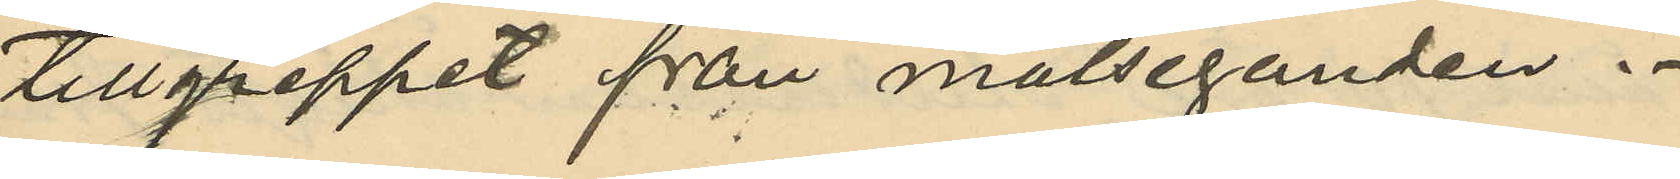tillgreppet från målseganden.
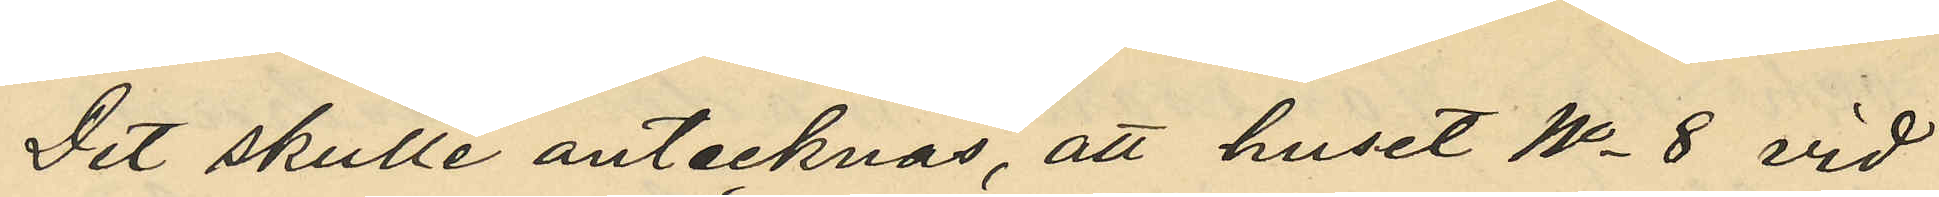Det skulle antecknas, att huset No 8 vid
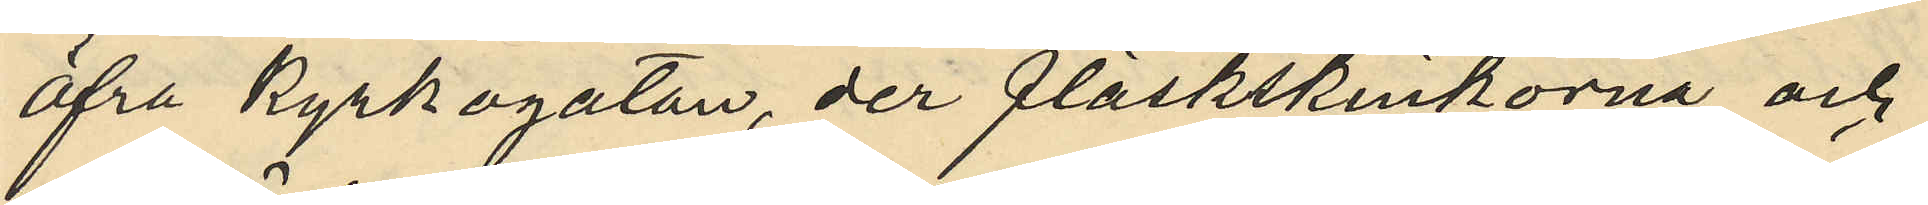Öfre kyrkogatan, der fläskskinkorna och
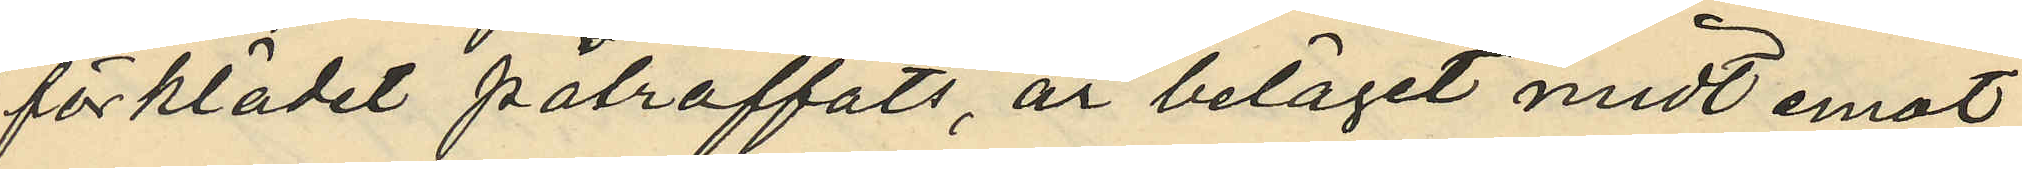förklädet påträffats, är beläget midt emot
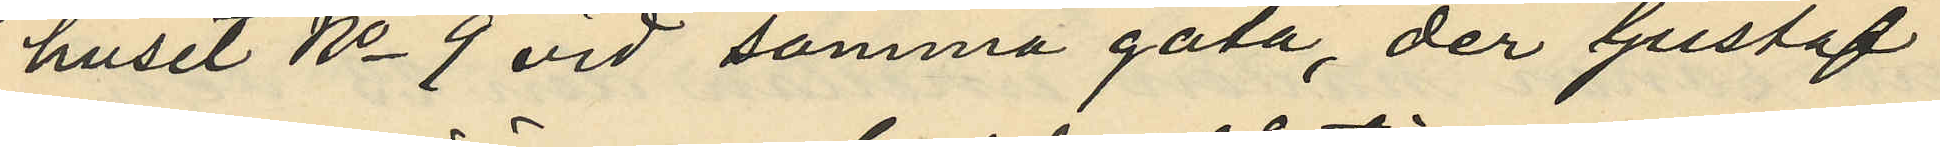huset No 9 vid samma gata, der Gustaf
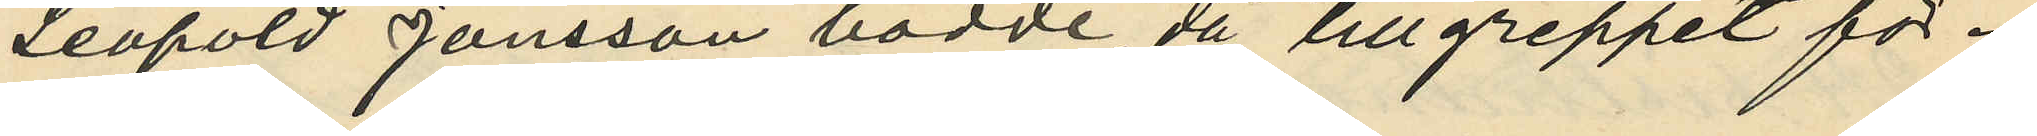Leopold Jönsson bodde, då tillgreppet för¬
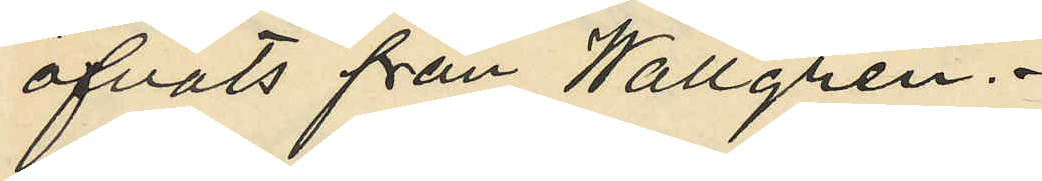öfvats från Wallgren.
